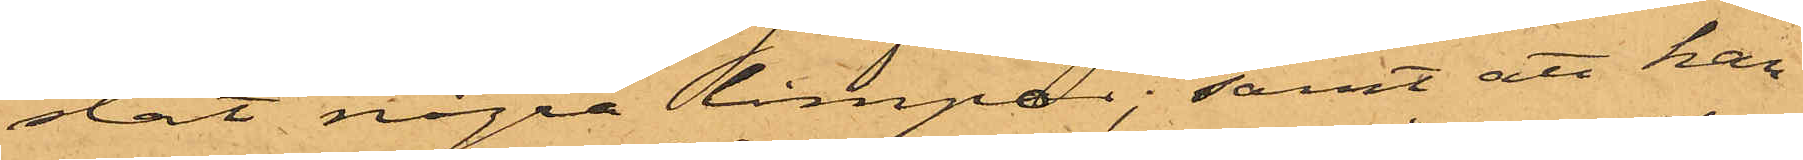stat några limpor; samt att han
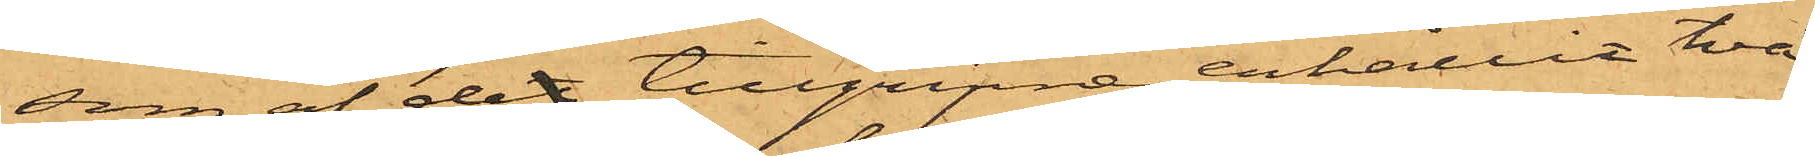som af det tillgripne erhållit två
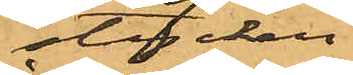stycken
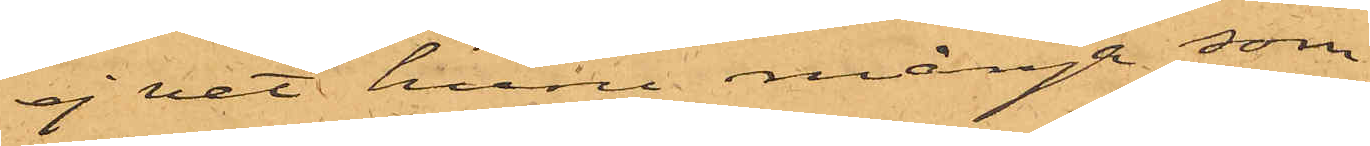ej vet huru många som
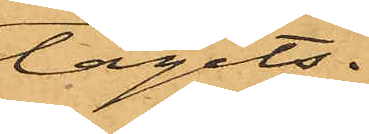tagits.
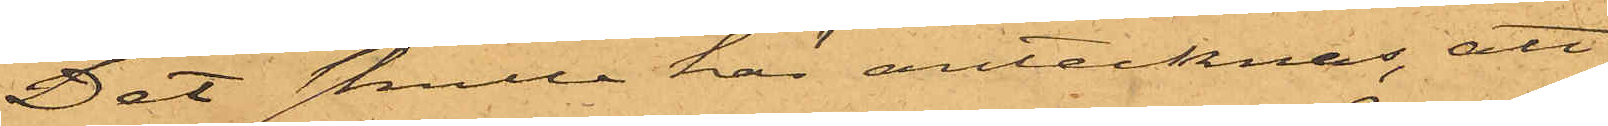Det skulle här antecknas, att
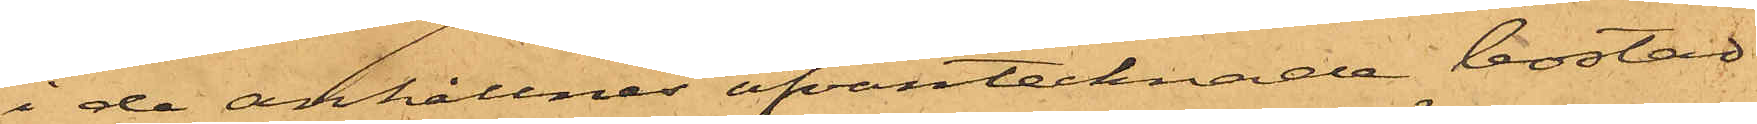i de anhållnes ofvantecknade bostad
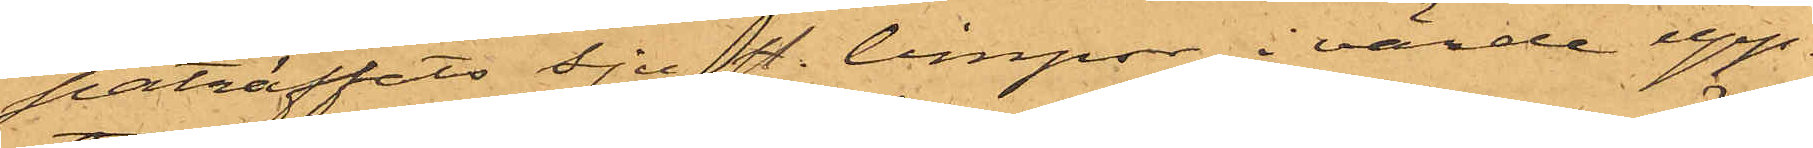påträffats sju st. limpor, i värde upp¬
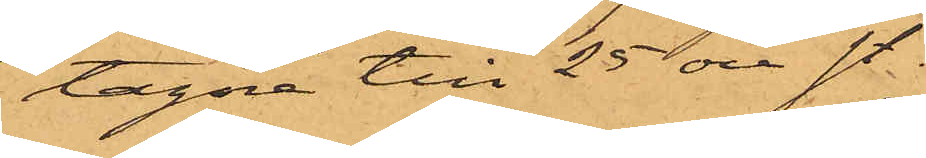tagna till 25 öre st.
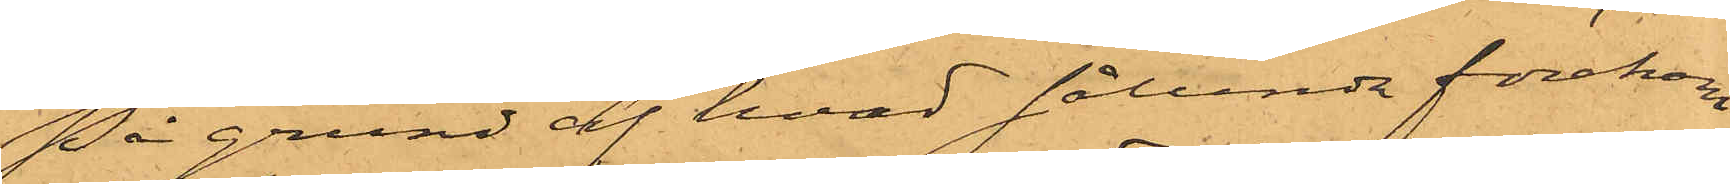På grund af hvad sålunda förekom¬
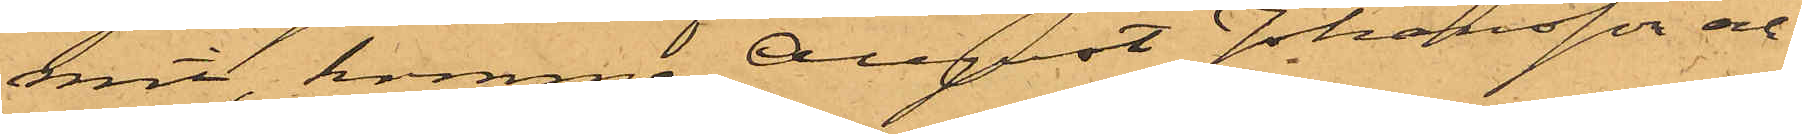mit, komma August Johansson och
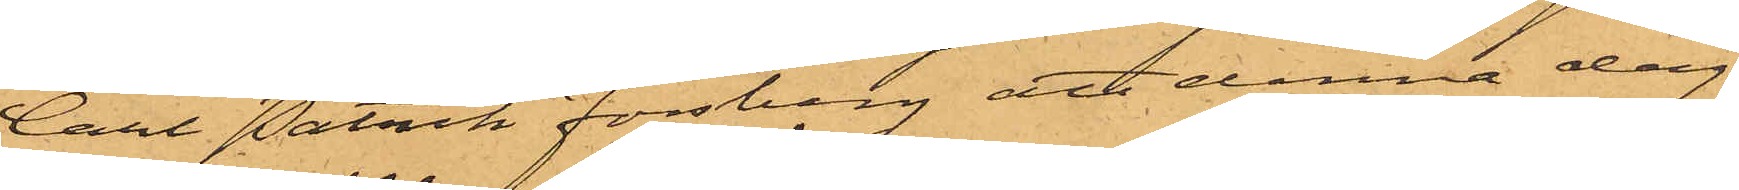Carl Patrik Forsberg att denna dag
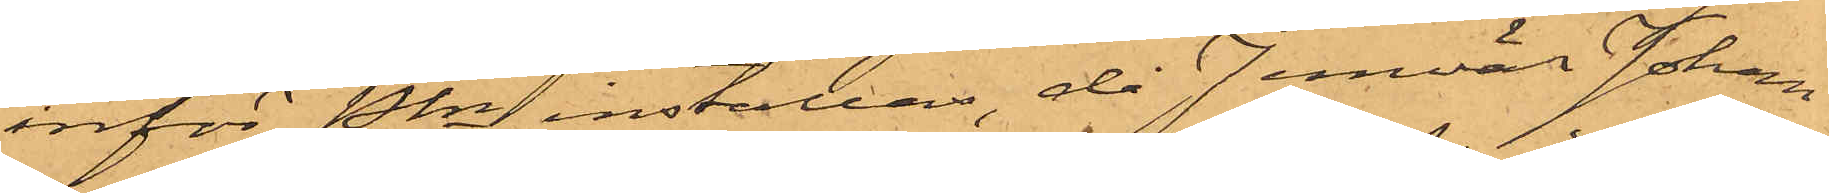inför Pkn inställas, då Jemväl Johan
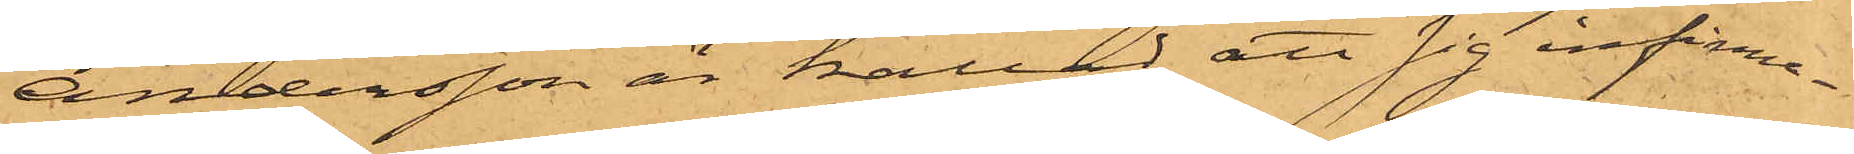Andersson är kallad att sig infinna.
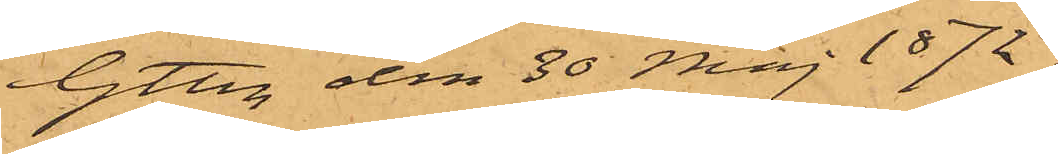Gtbg den 30 Maj 1872.
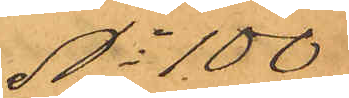No 100
